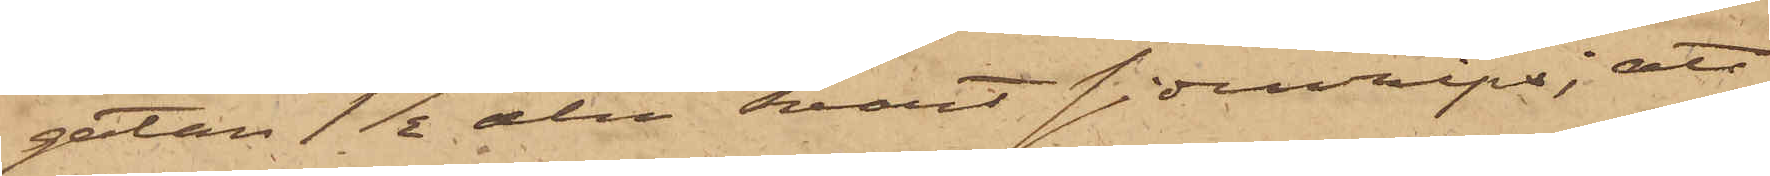gatan 1 1/2 aln svart sidenrips; att
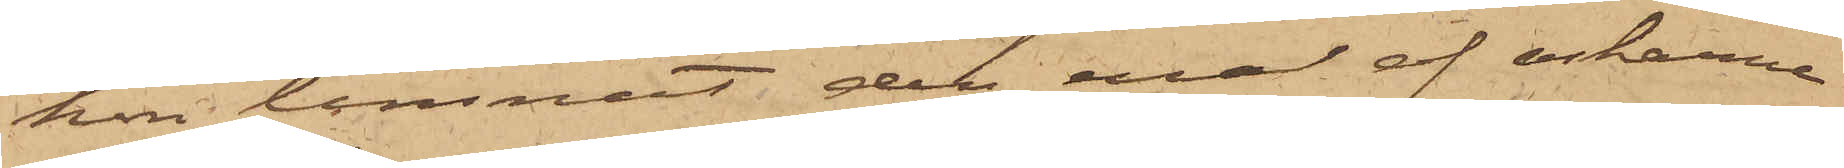hon lemnat den ena af askarne
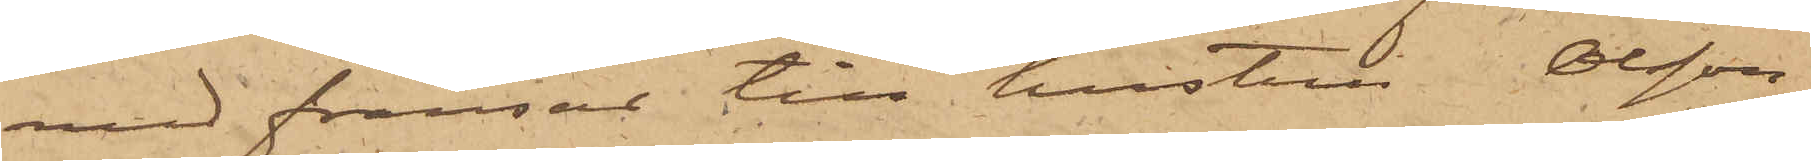med fransar till hustru Olsson
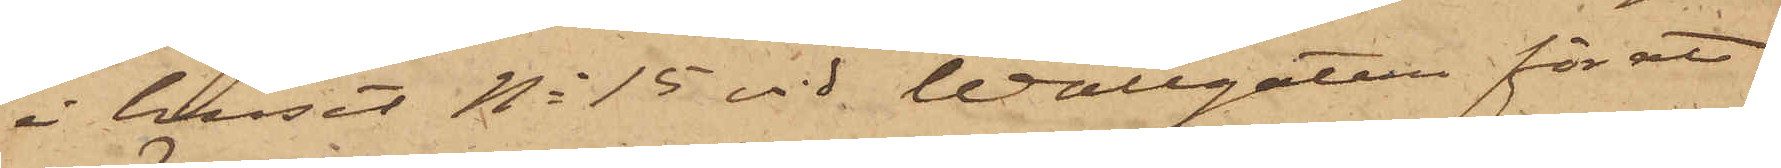i huset No 15 vid Wallgatan för att
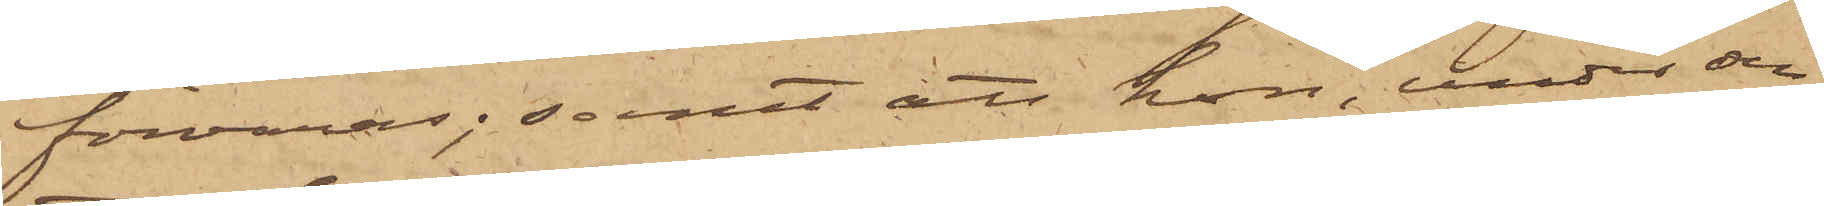förvaras; samt att hon under den
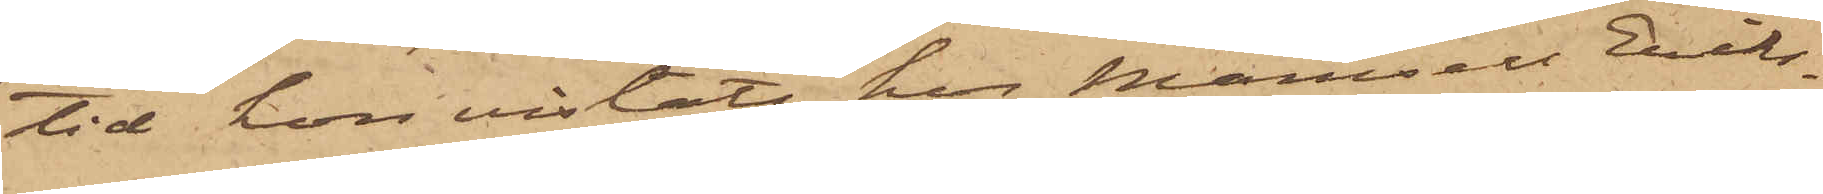tid hon vistats hos Mamsell Eriks¬
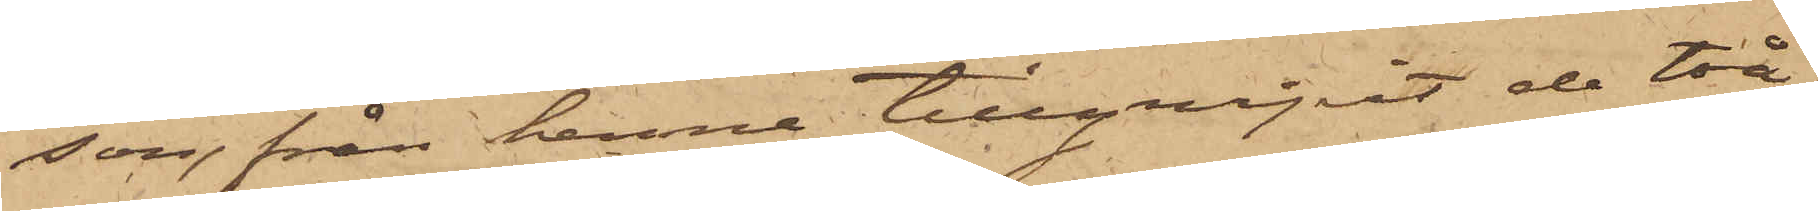son, från henne tillgripit de två
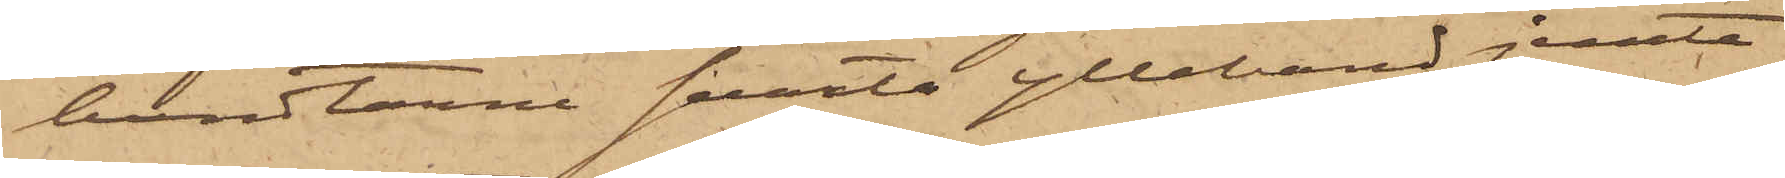bundtarne svarta ylleband jemte
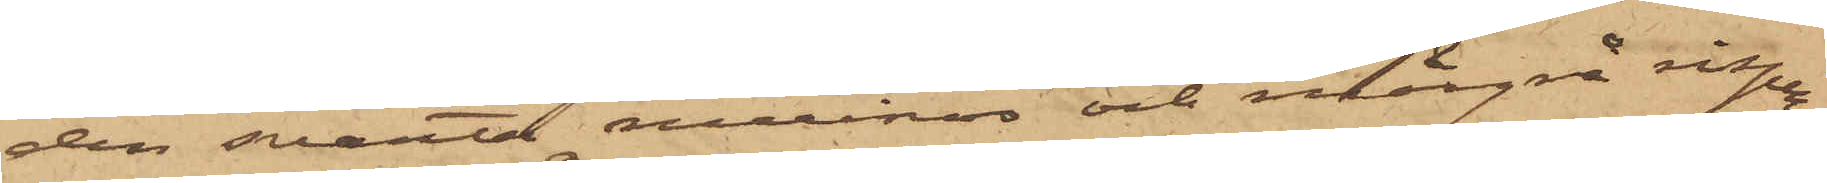den svarta merinos och mörkgrå ripsen,
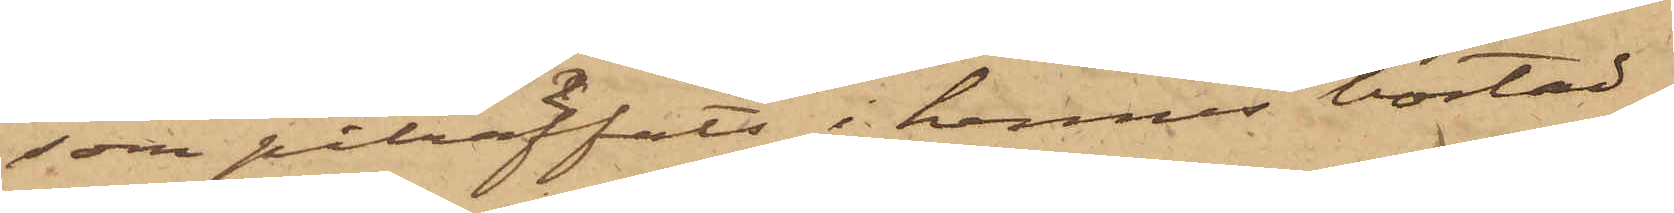som påträffats i hennes bostad.
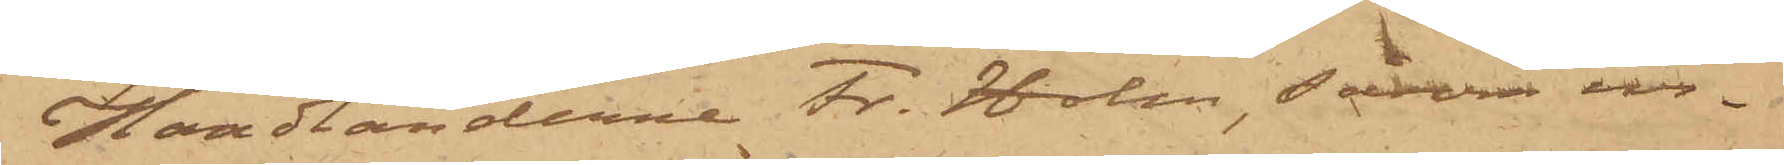Handlanderna Fr. Holm, såsom in¬
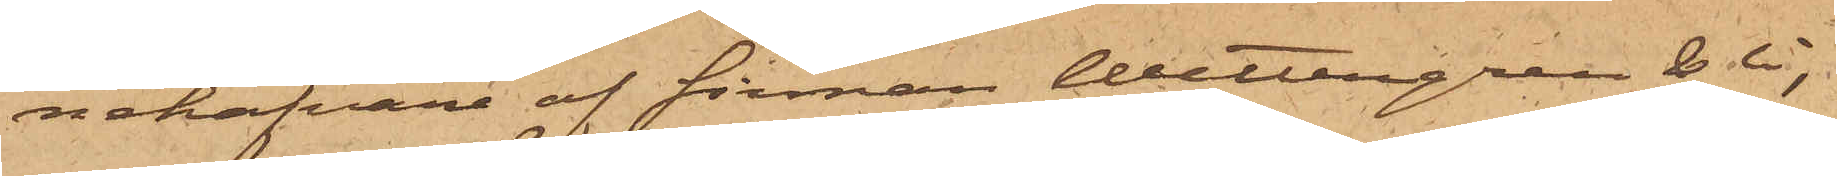nehafvare af firman Wettergren & Ci,
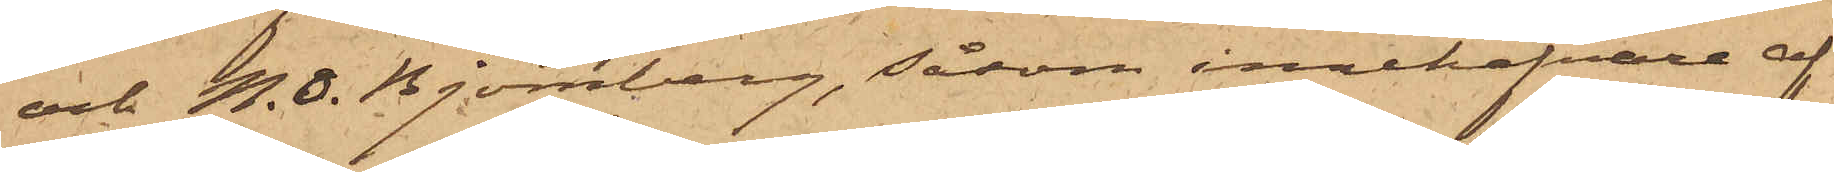och N. O. Björnberg, såsom innehafvare af
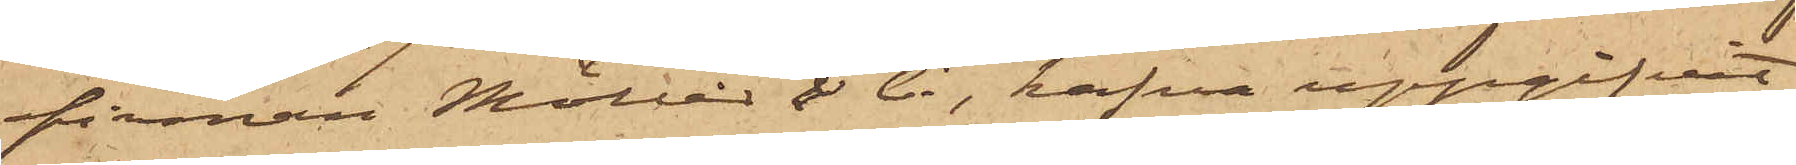firman Möller & Ci, hafva uppgifvit
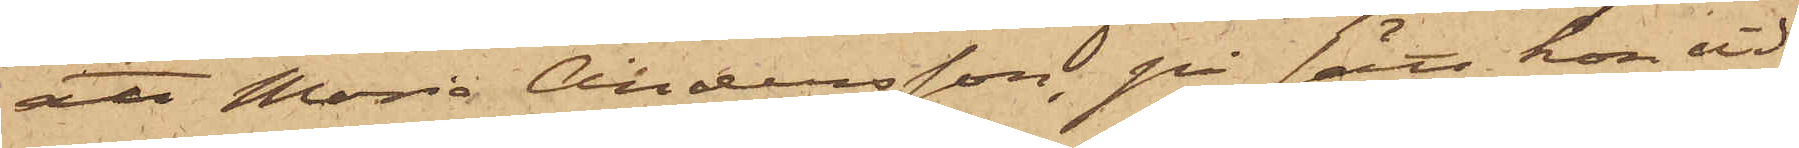att Maria Andersson, på sätt hon vid¬
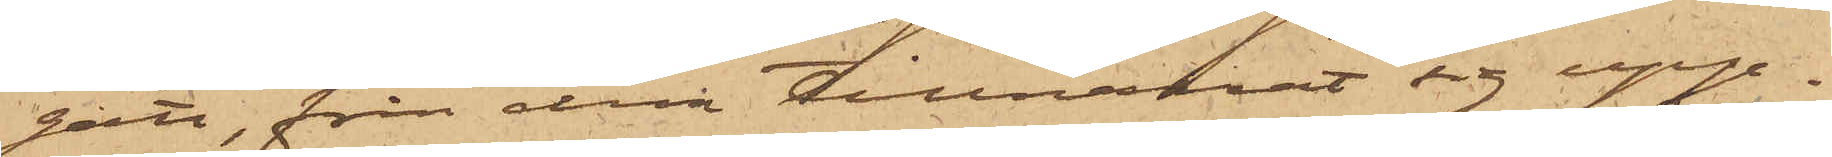gått, från dem tillnarrat sig upp¬
